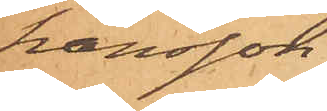hansson.
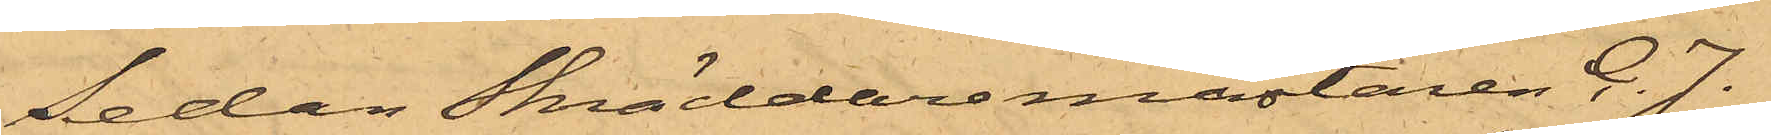Sedan Skräddaremästaren C. J.
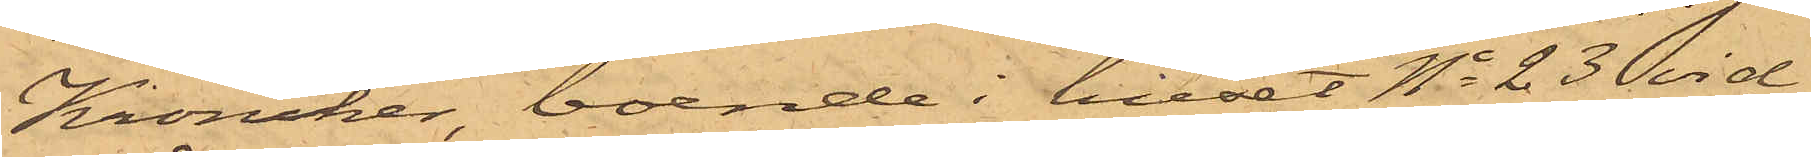Kroncker, boende i huset No 23 vid
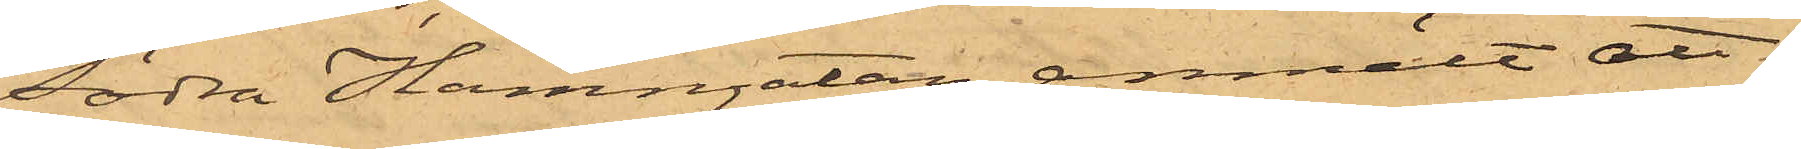Södra Hamngatan, anmält att
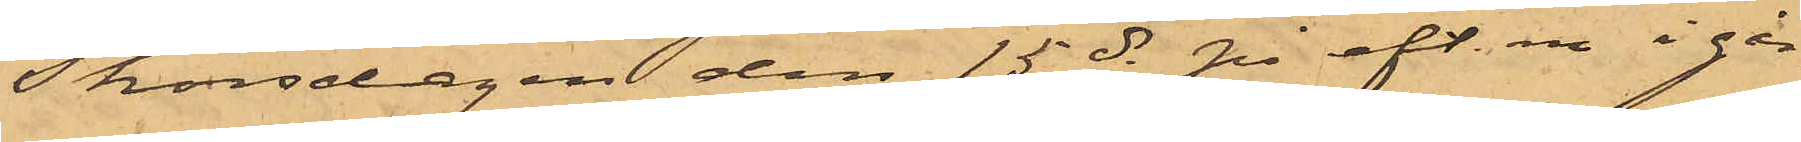Thorsdagen den 15 ds på eft. m. i går¬
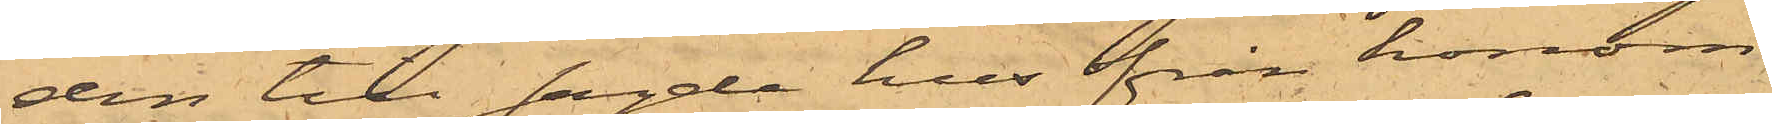den till sagde hus från honom
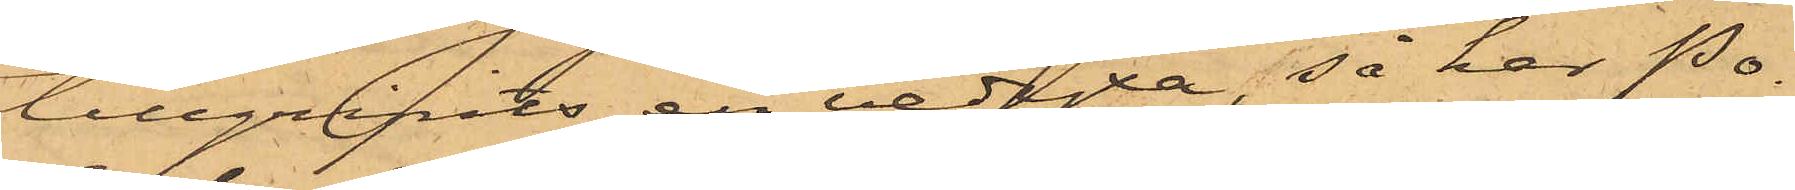tillgripits en vedyxa, så har Po¬
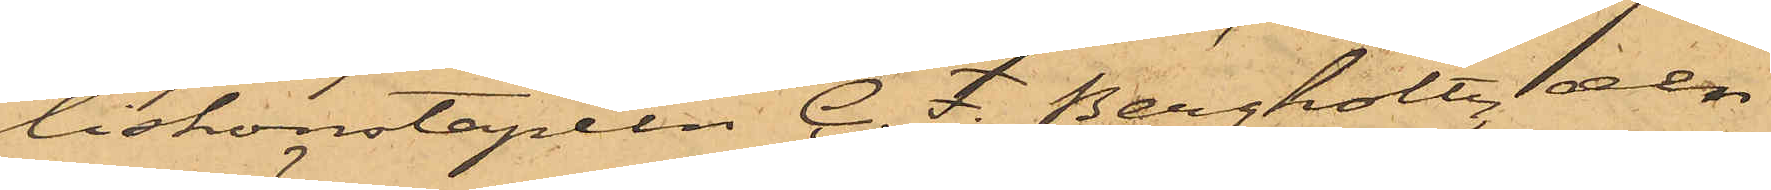liskonstapeln C. F. Bergholtz, den
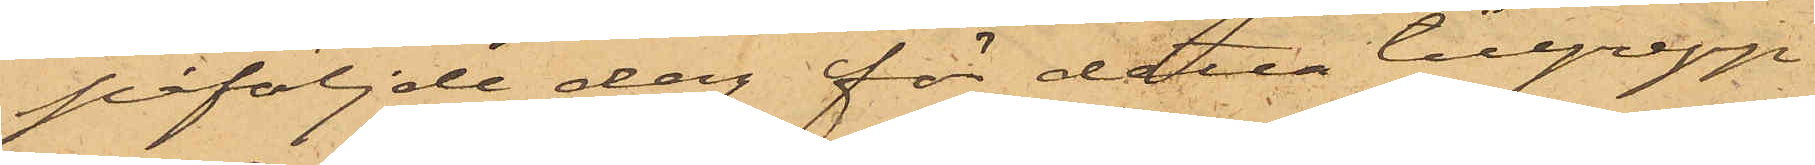påföljande dag för detta tillgrepp
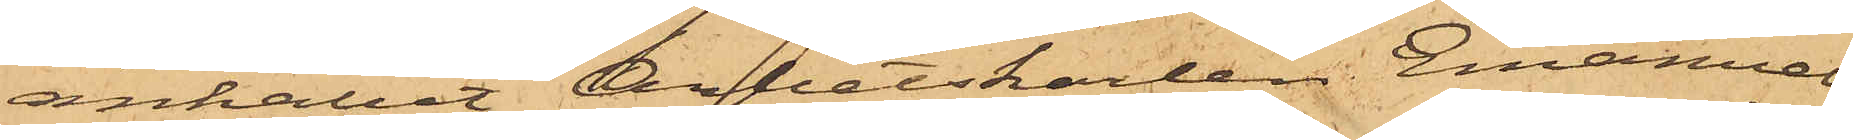anhållit Arbetskarlen Emanuel
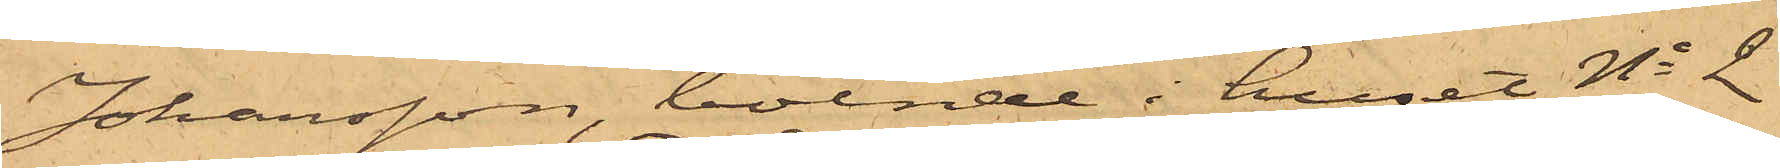Johansson, boende i huset No 2
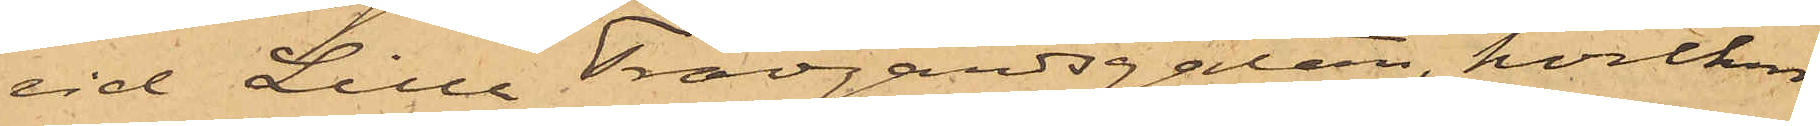vid Lilla Trädgårdsgatan, hvilken
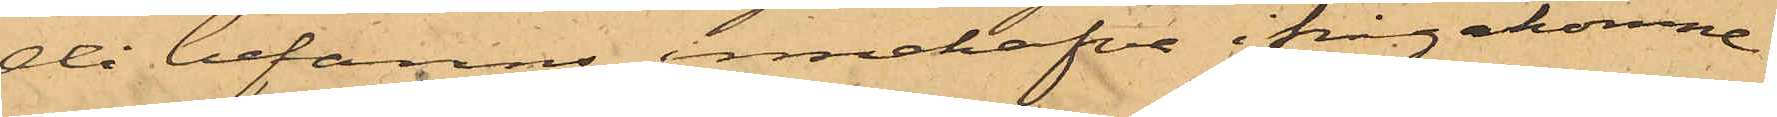då befanns innehafva ifrågakomne
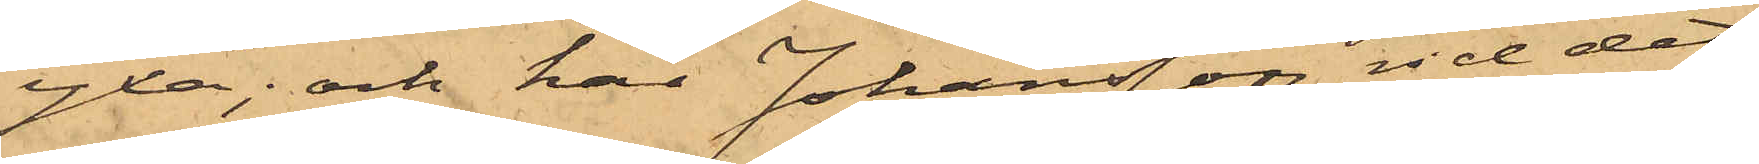yxa; och har Johansson vid det
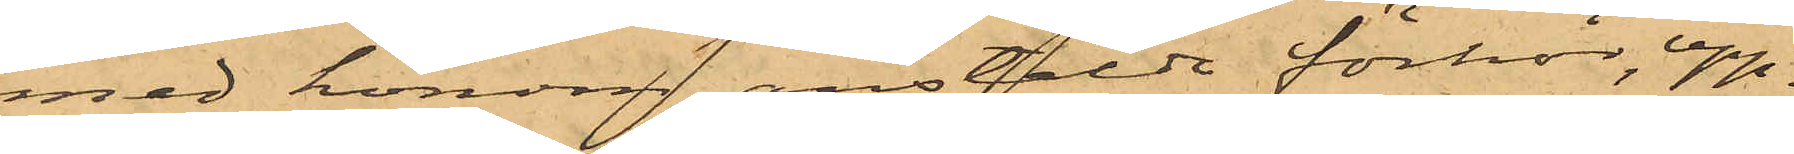med honom anstäldt förhör upp¬
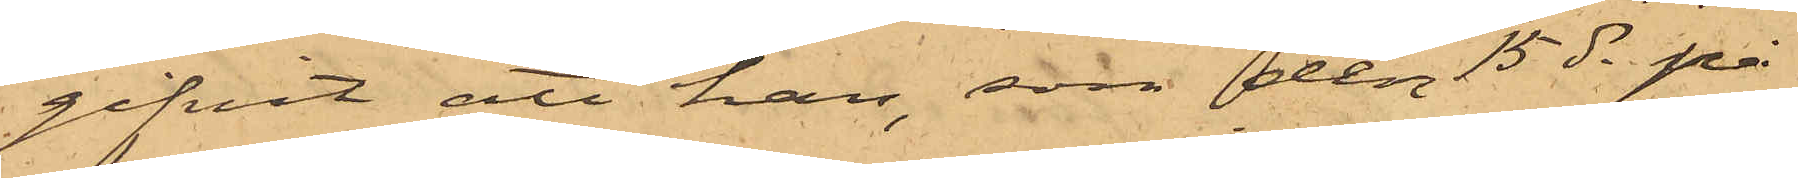gifvit att han, som den 15 ds på
